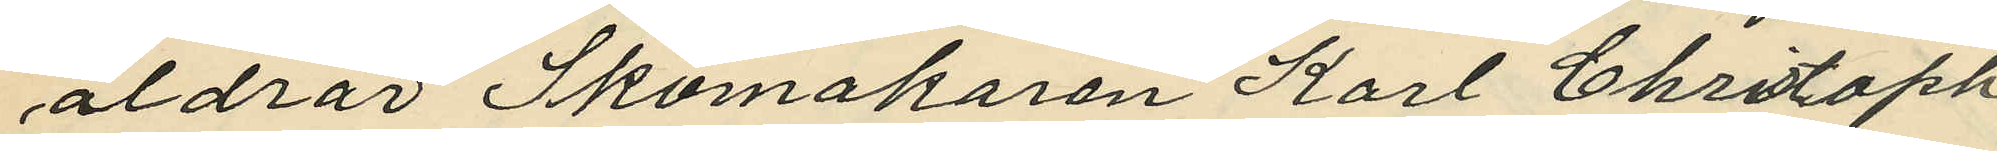äldrar Skomakaren Karl Christoph
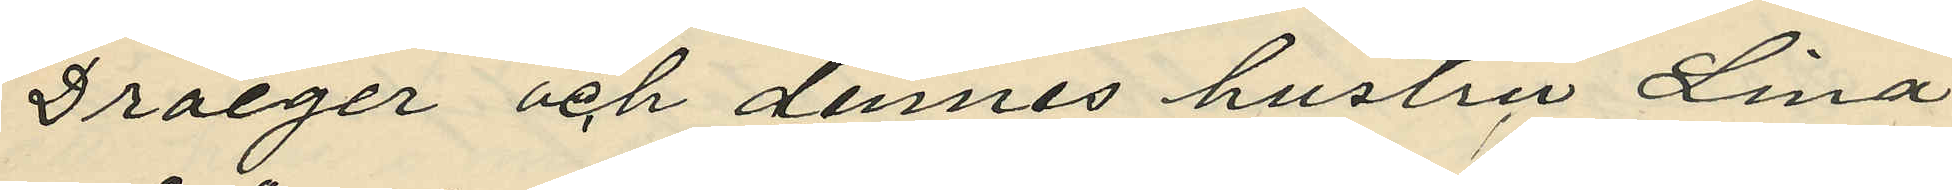Draeger och dennes hustru Lina
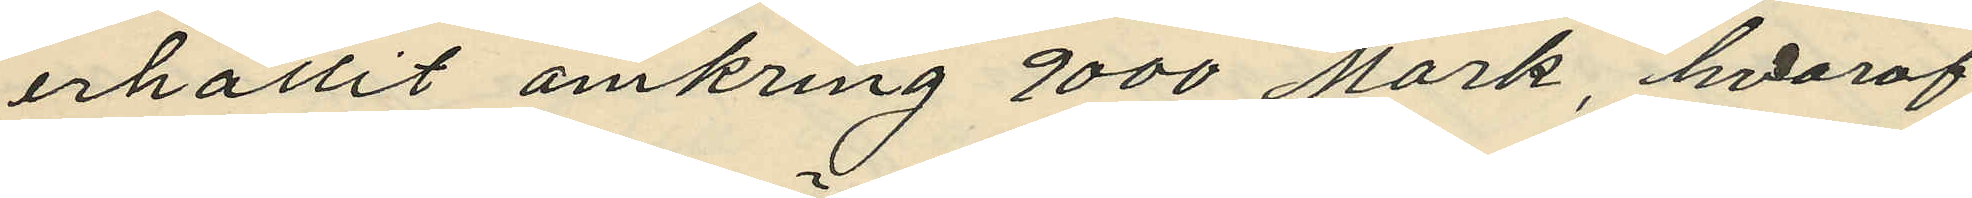erhållit omkring 9000 Mark, hvaraf
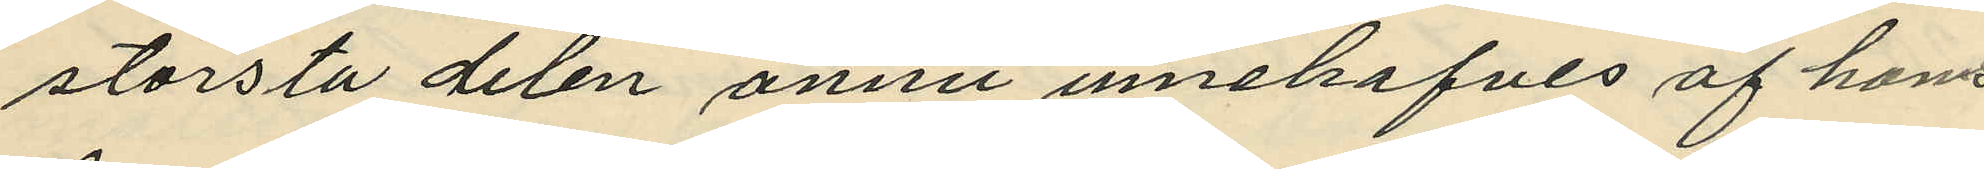största delen ännu innehafves af hans
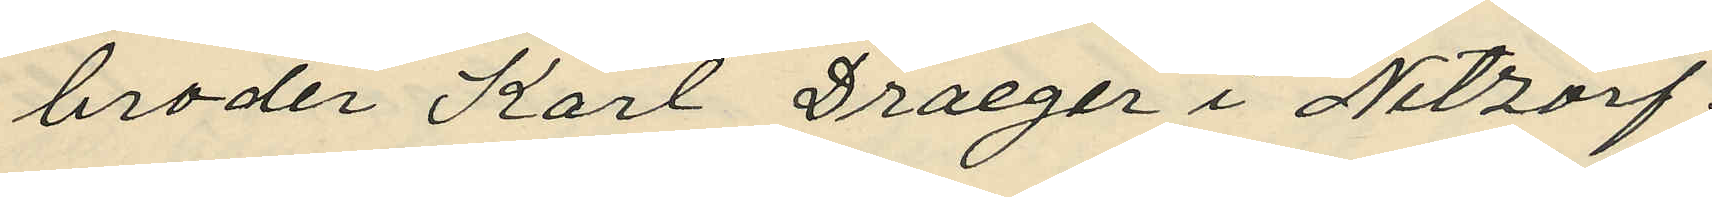broder Karl Draeger i Nitzorf.
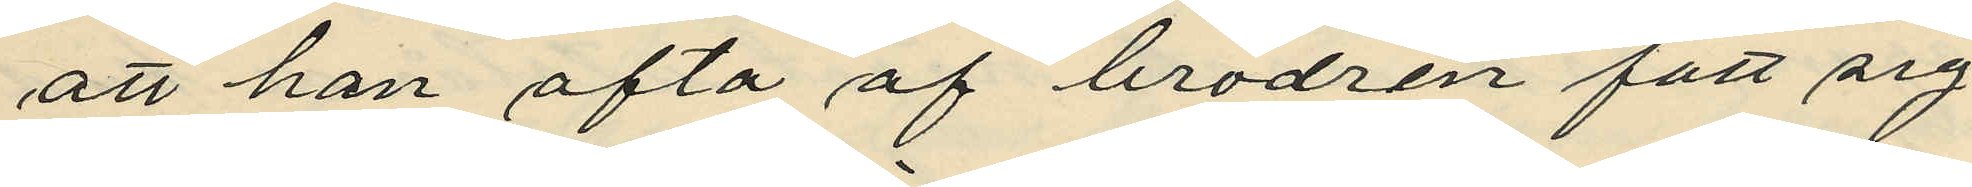att han ofta af brodren fått sig
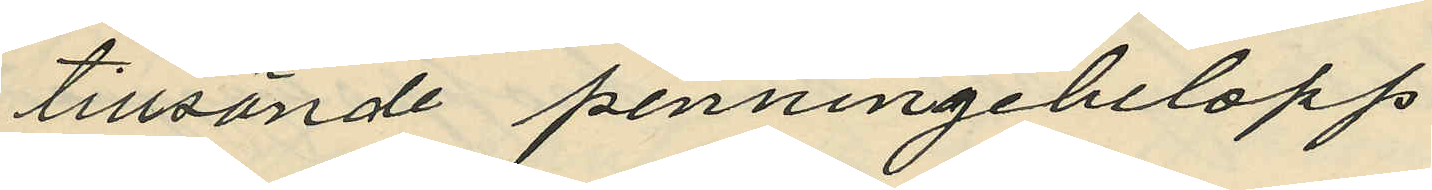tillsände penningebelopp
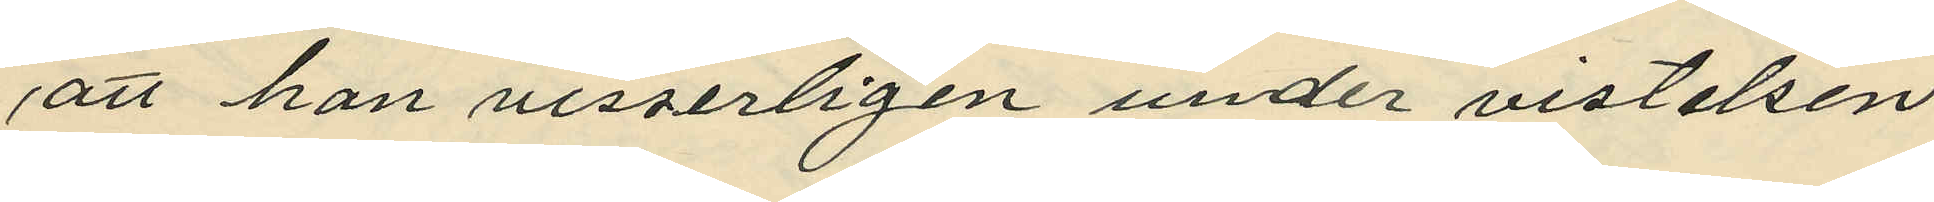att han visserligen under vistelsen
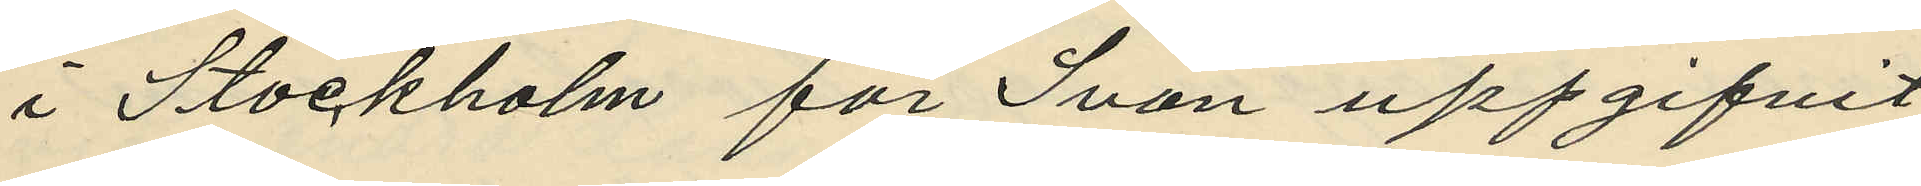i Stockholm för Svan uppgifvit
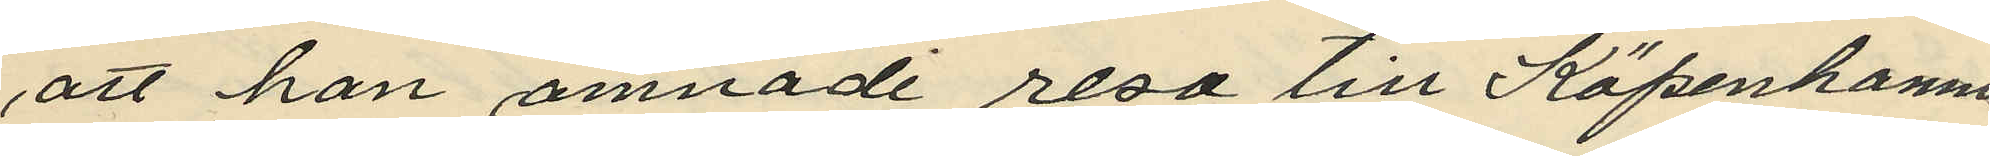att han ämnade resa till Köpenhamn
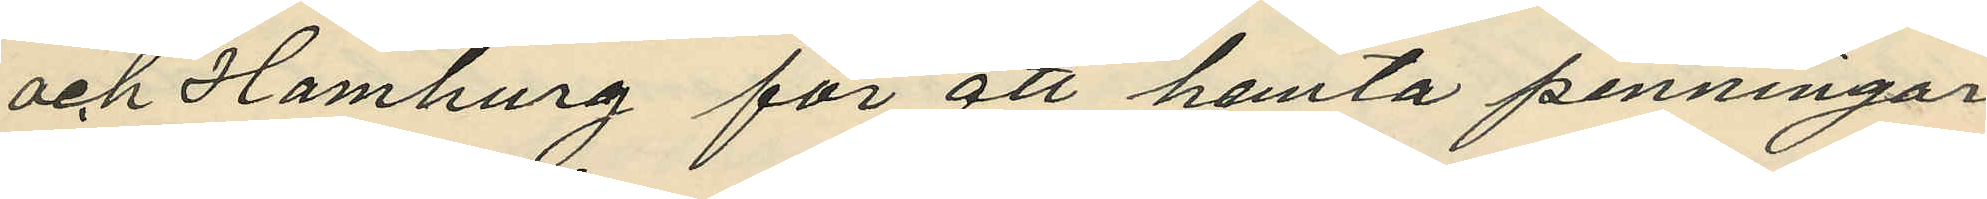och Hamburg för att hemta penningar
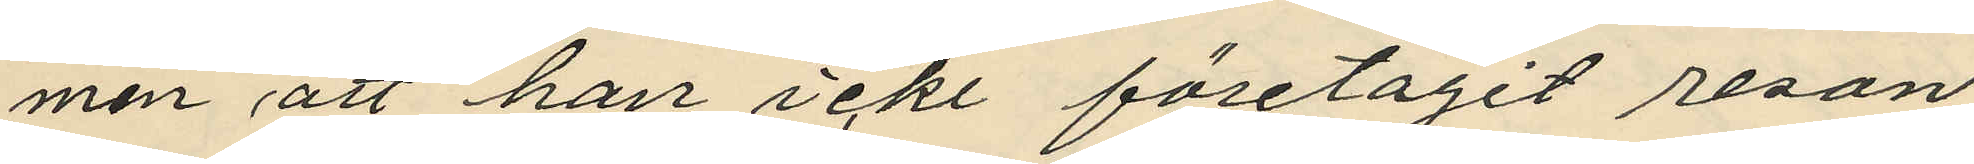men att han icke företagit resan
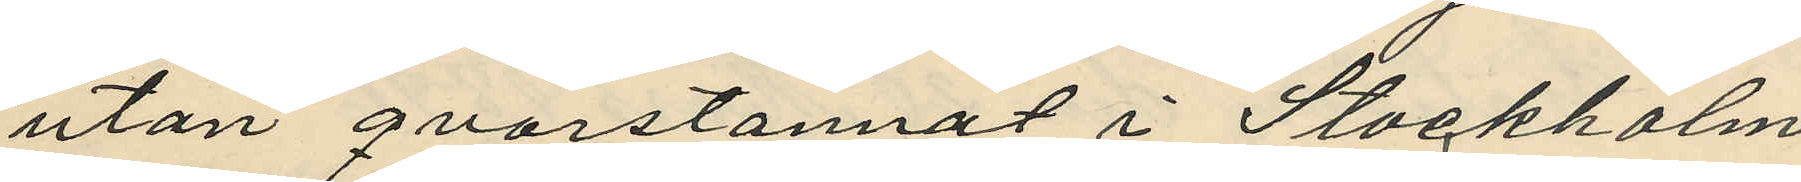utan qvarstannat i Stockholm
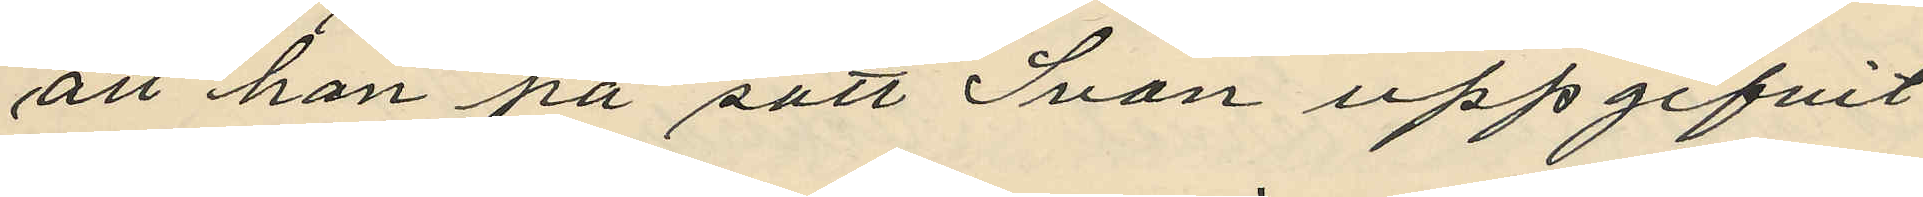att han på sätt Svan uppgifvit
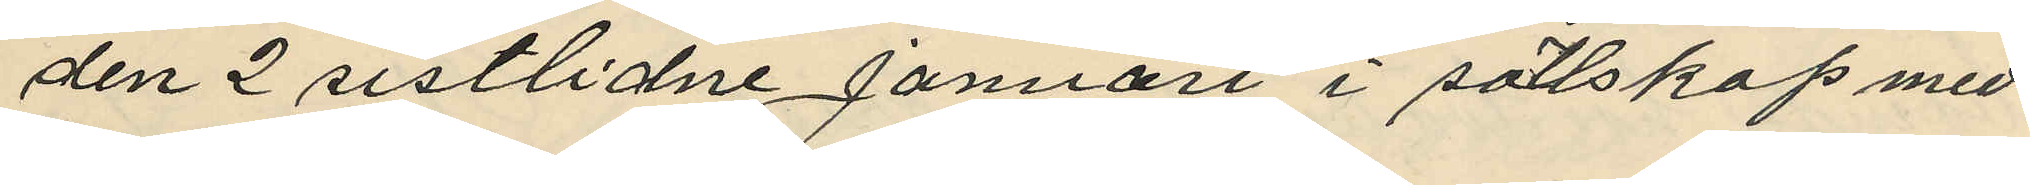den 2 sistlidne Januari i sällskap med
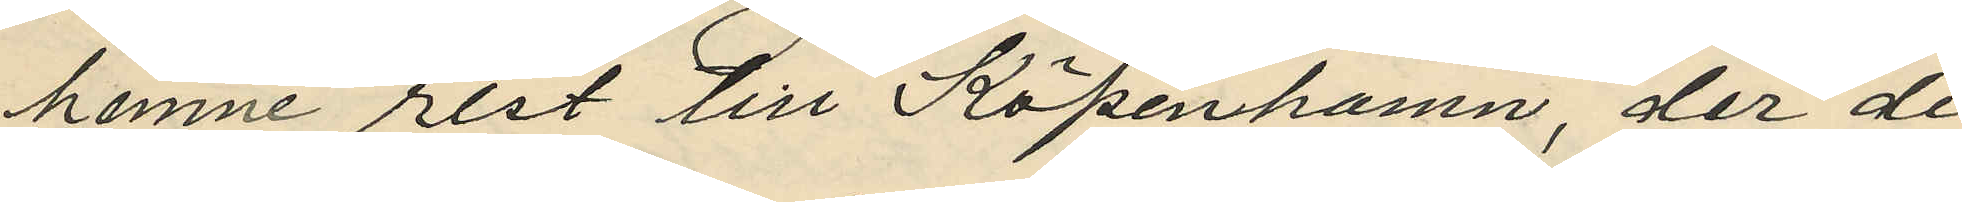henne rest till Köpenhamn, der de
